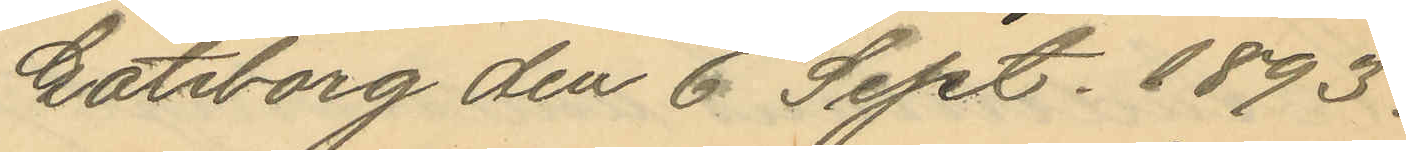Göteborg den 6 Sept. 1893.
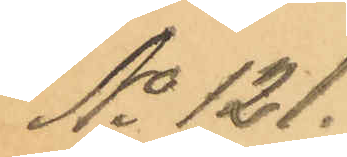No 121.
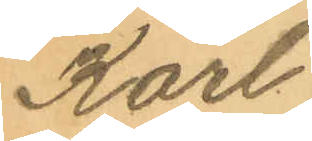Karl
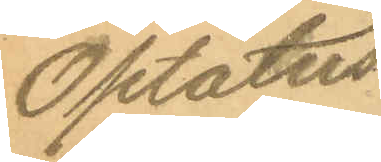Optatus
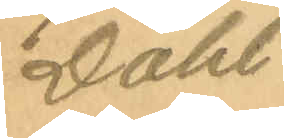Dahl
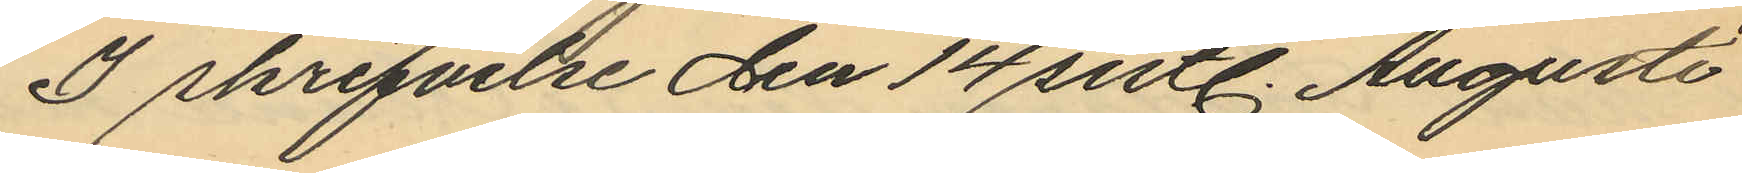I skrifvelse den 14 sistl. Augusti
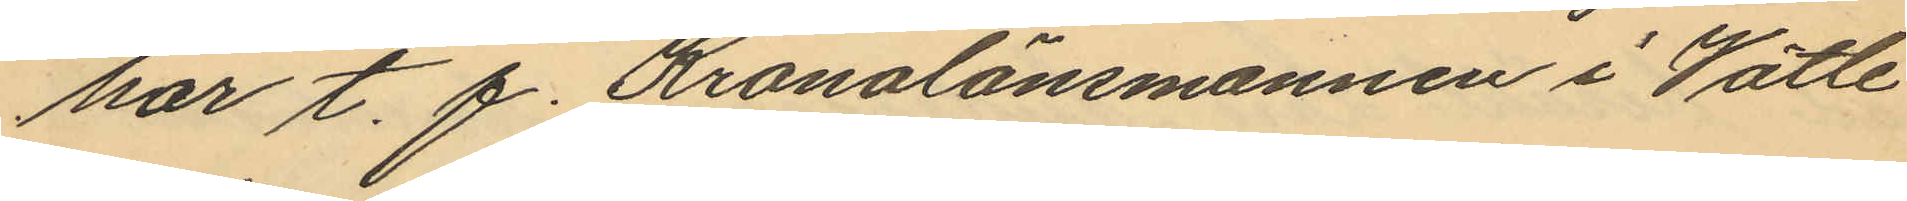har t. f. Kronolänsmannen i Wätle
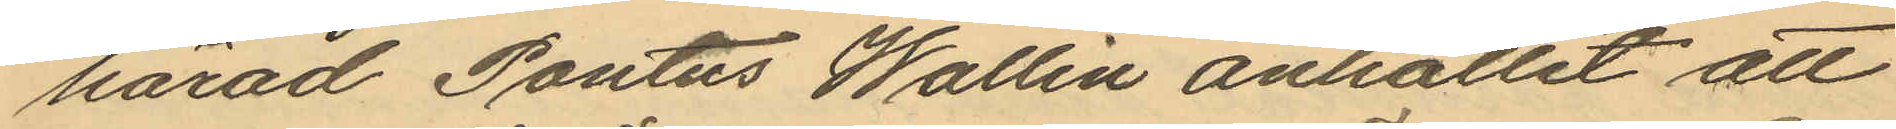härad Pontus Wallin anhållit att
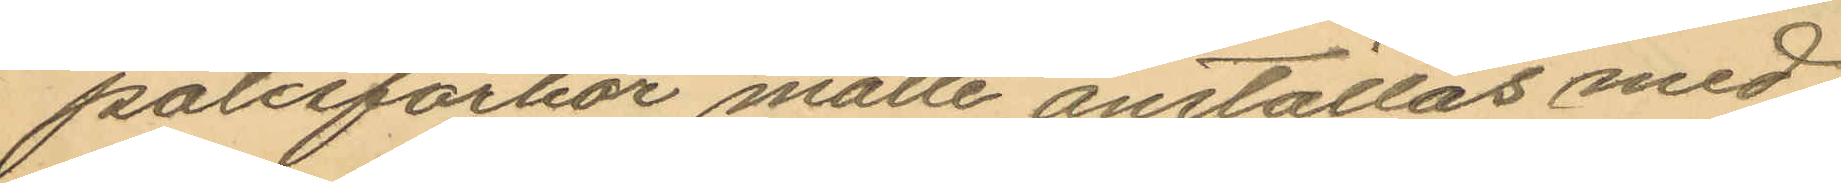polisförhör måtte anställas med
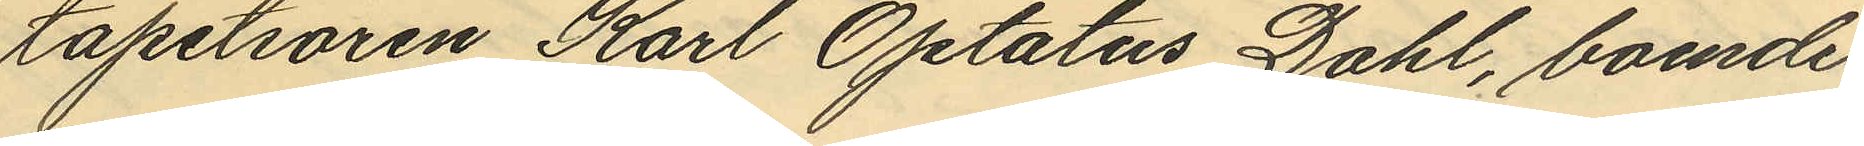tapetsören Karl Optatus Dahl, boende
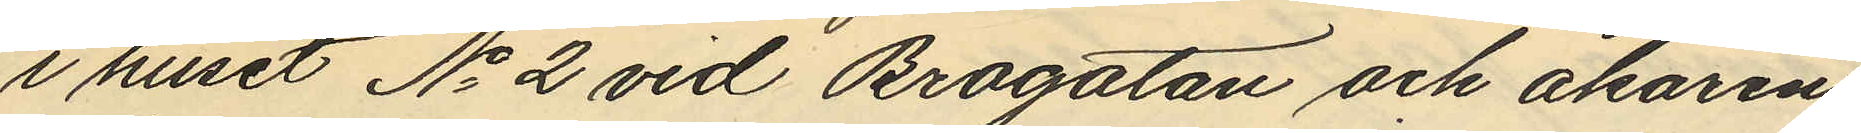i huset No 2 vid Brogatan och åkaren
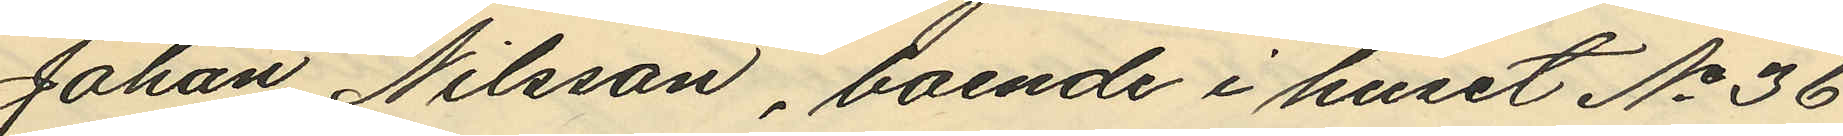Johan Nilsson, boende i huset No 36
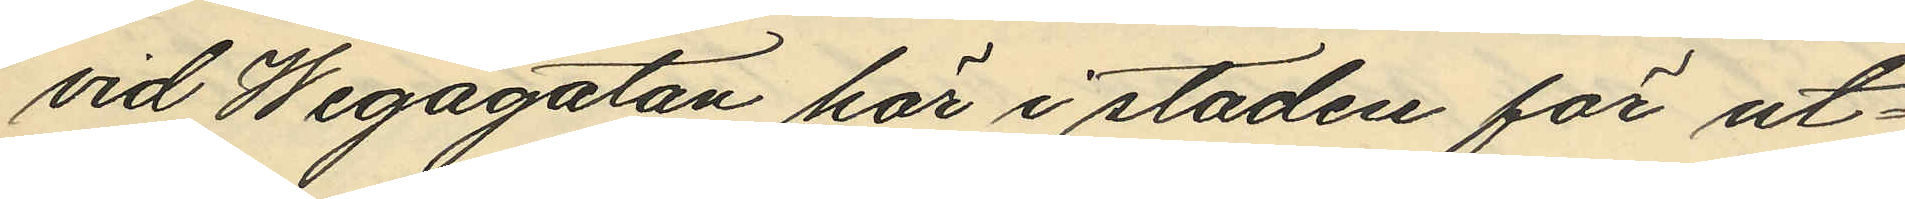vid Wegagatan här i staden för ut¬
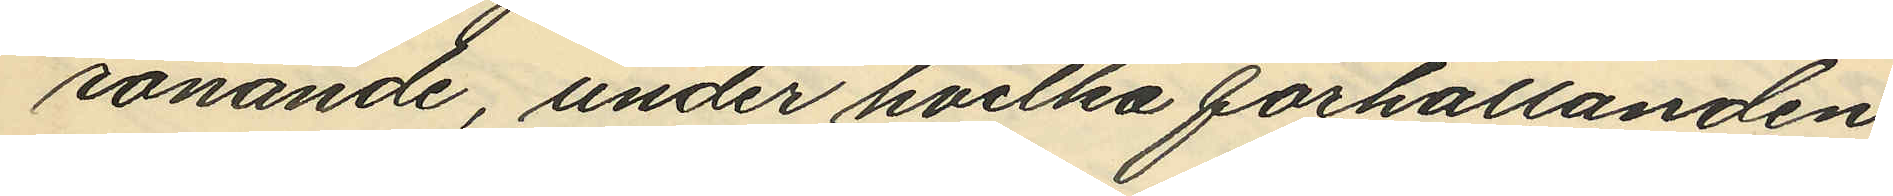rönande, under hvilka förhållanden
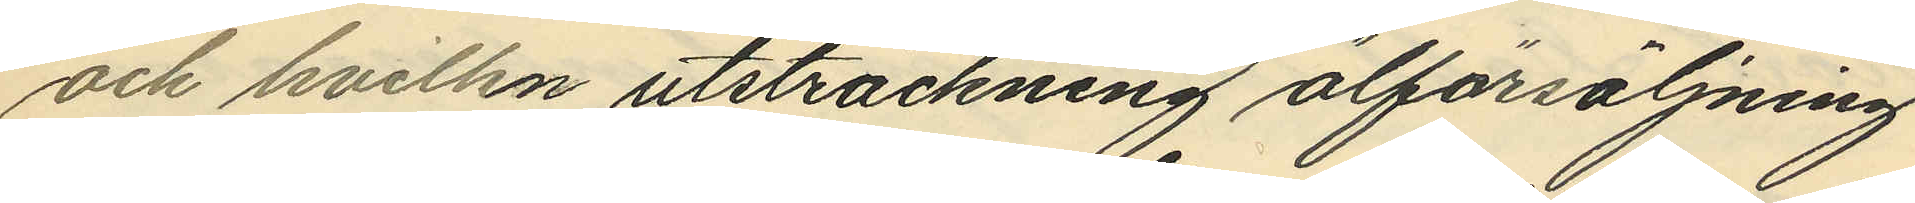och hvilken utsträckning ölförsäljning
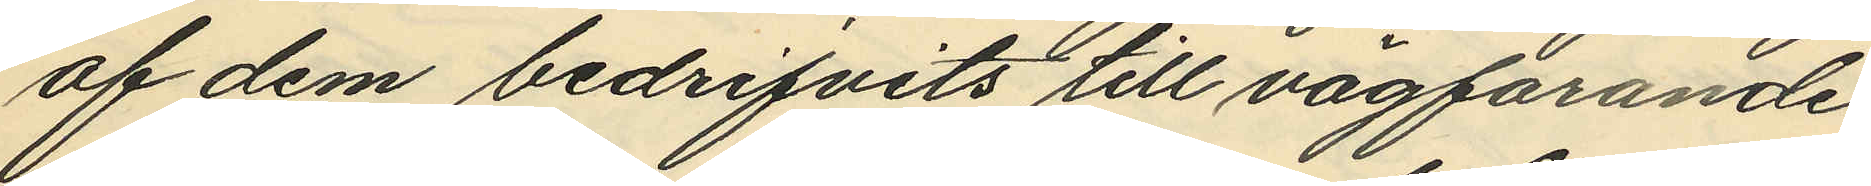af dem bedrifvits till vägfarande
